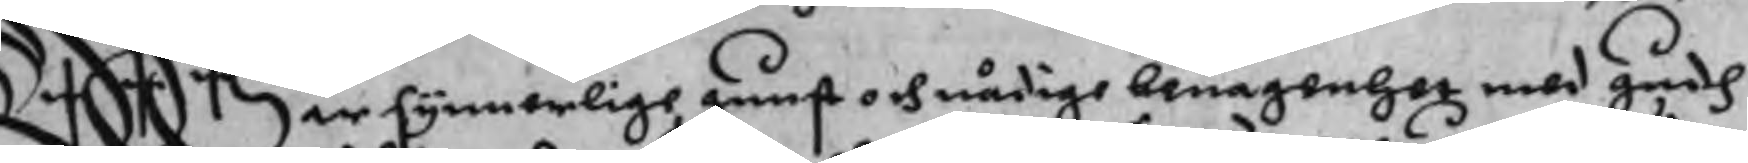Wår synnerlige gunst och nådige benägenhet med gudh
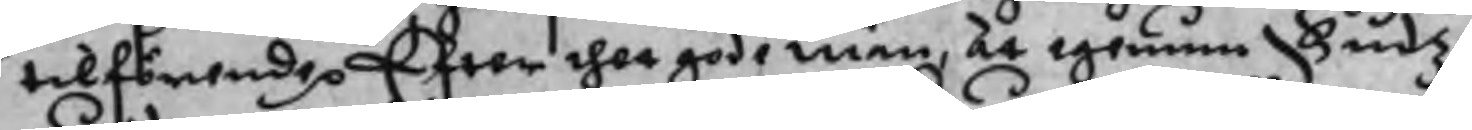tilförende p Efter dhet gode män, at igenun Gudz
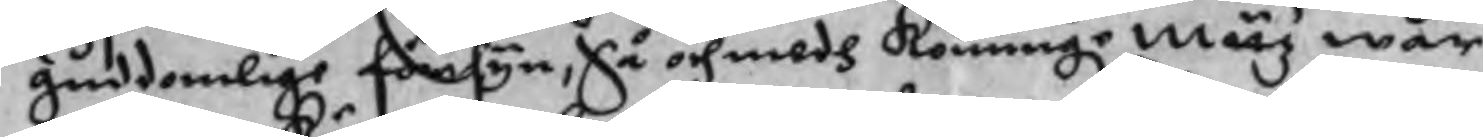guddomlige försyn, Så och medh Konunge matz wår
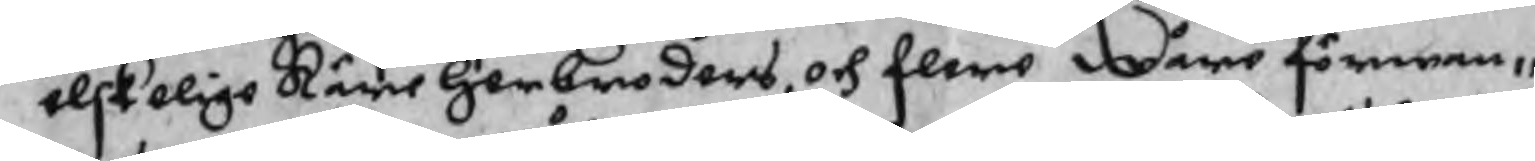elskelige Käre her broders, och flere wåre förwan¬
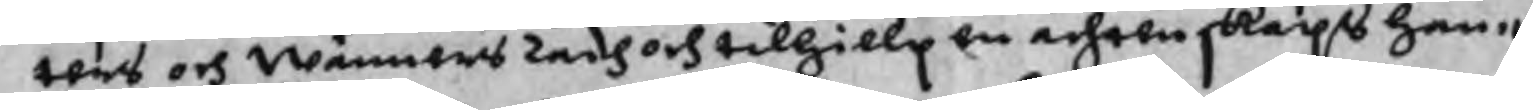ters och Wänners rådh och tilhielp en ächtenskaps han¬
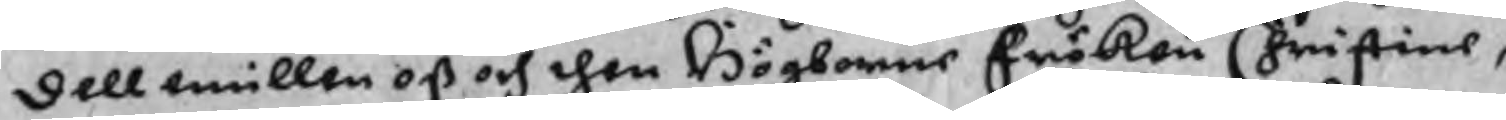dell emillen oß och then Högborne Fröken Christine,
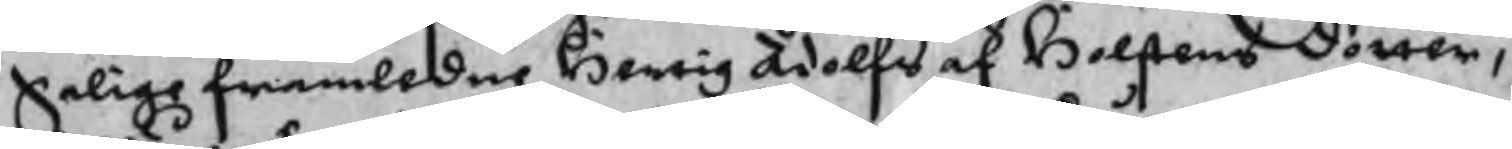Salige framledne Hertig Adolfs af Holstens dotter,
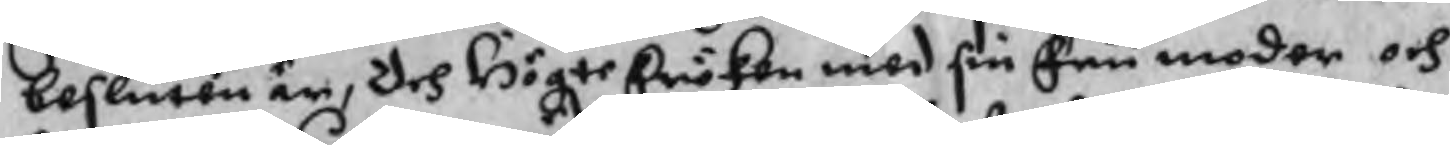beslutten är, Och Högte Fröken med sin Fru moder och
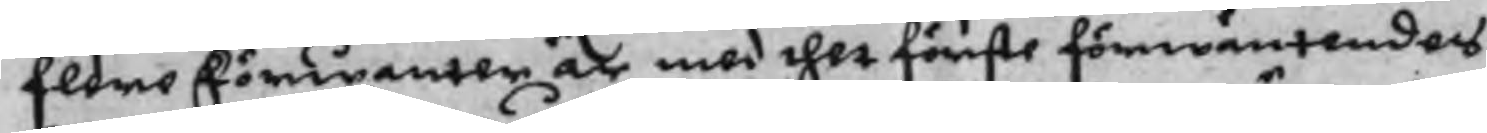flere Förwanter är med thet förste förwäntendes
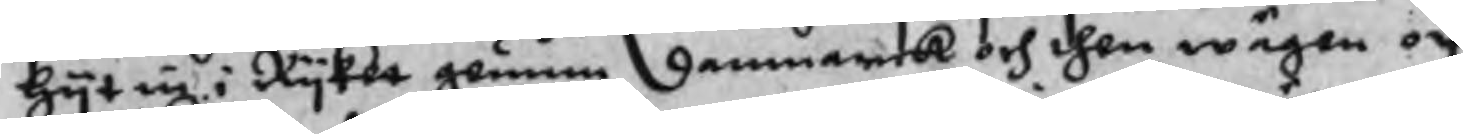hyt in i Ryket gemum Danmarck och then wägen och
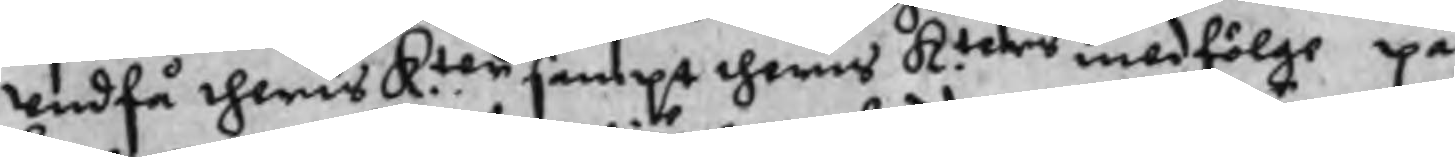undfå theris K.ter sampt theris K.ters medfölge på
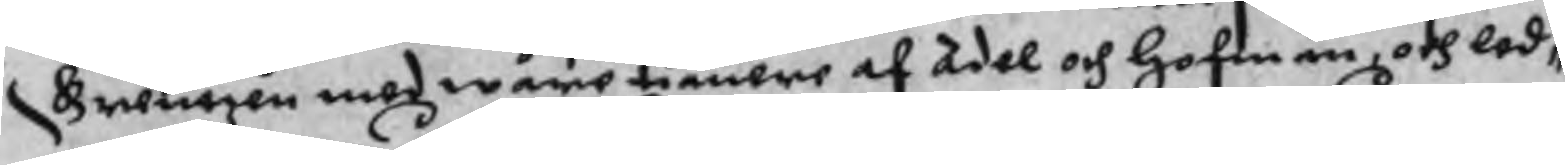Grentzen med wåre tiänare af Adel och hofmän, och led¬
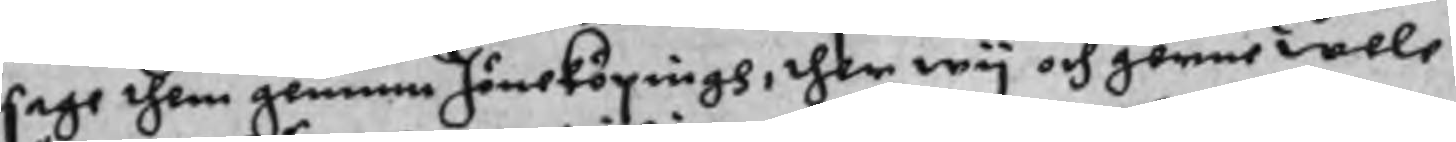sage them genun Jöneköpingh, ther wy och gerne wele
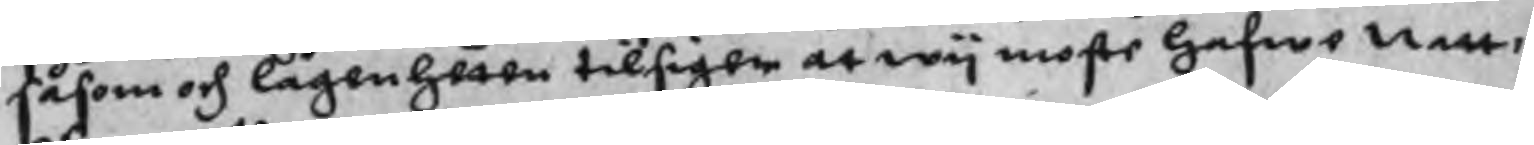såsom och lägenheten tilsiger at wy moste hafwe natt¬
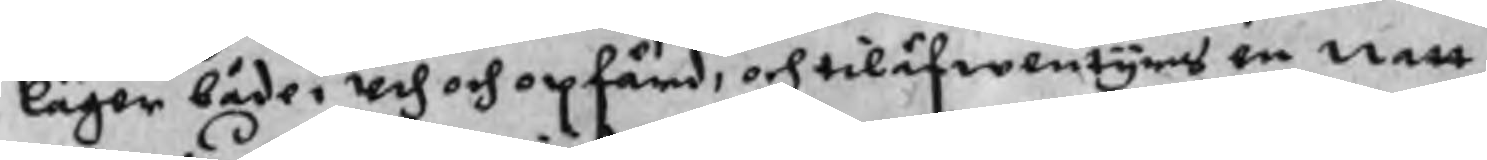läger både, ned och opfärd, och tiläfwentyrs en natt
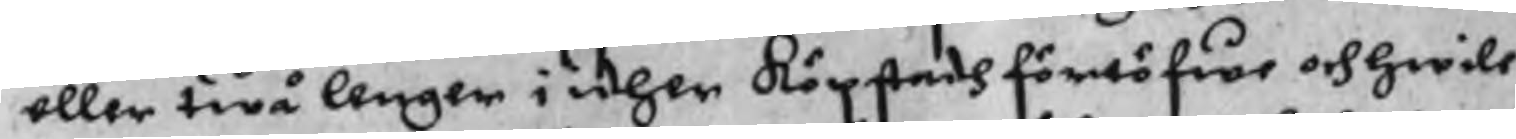eller twå lenger i idher Köpstadh förtöfwe och hwile
